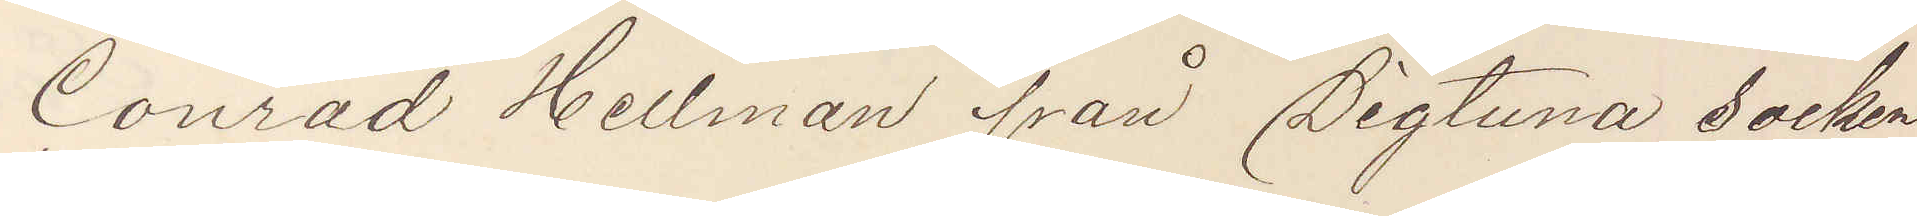Conrad Hellman från Sigtuna socken
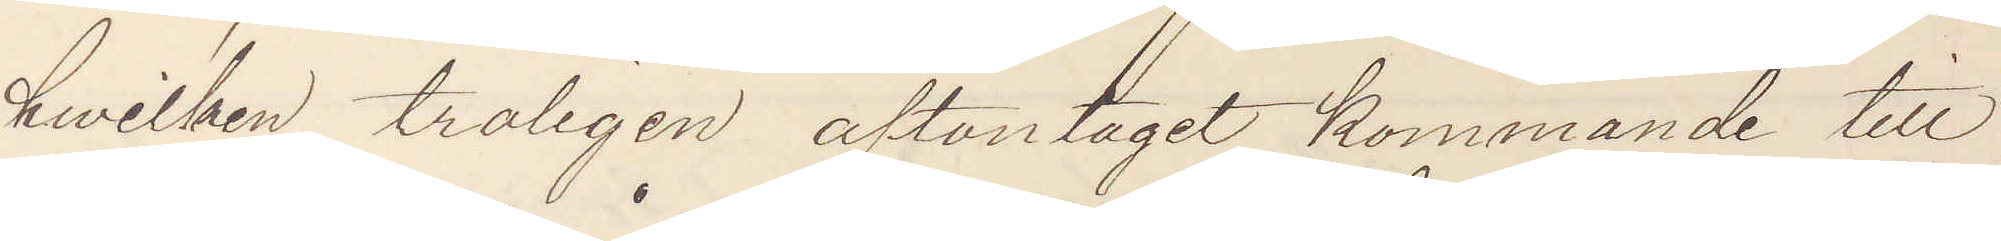hvilken troligen aftontaget kommande till
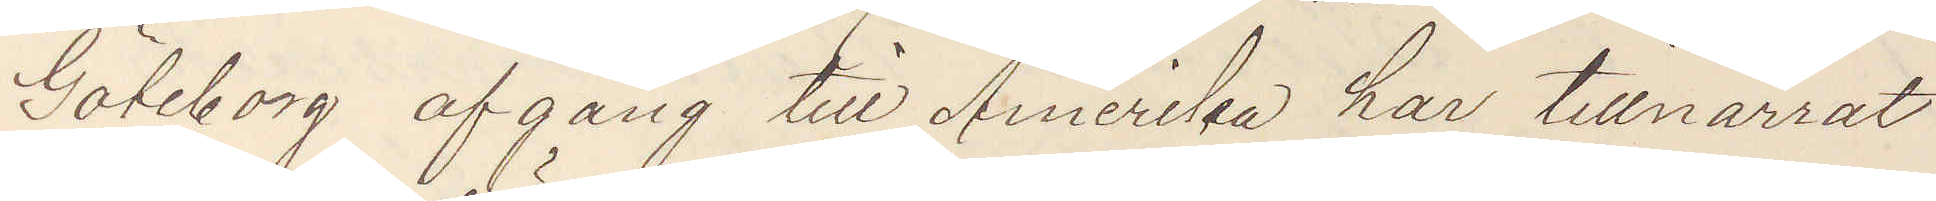Göteborg afgång till Amerika har tillnarrat
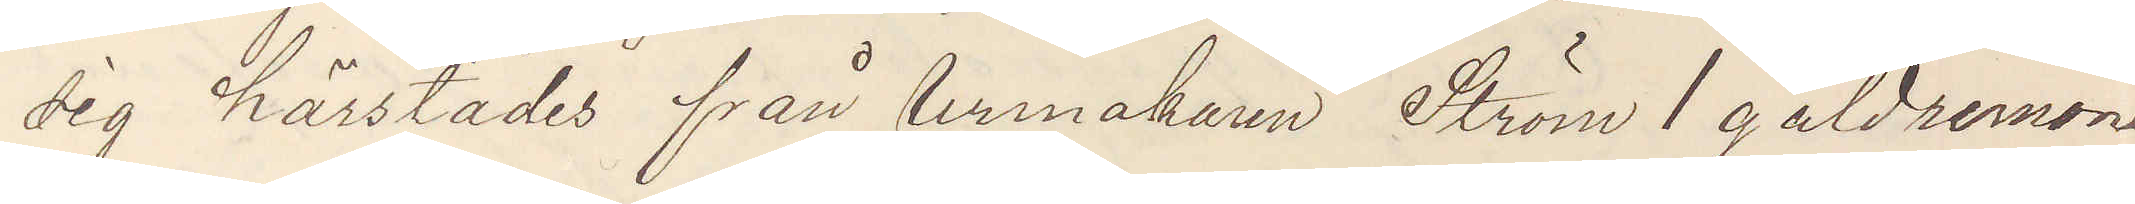sig härstädes från Urmakaren Ström 1 guldremont¬
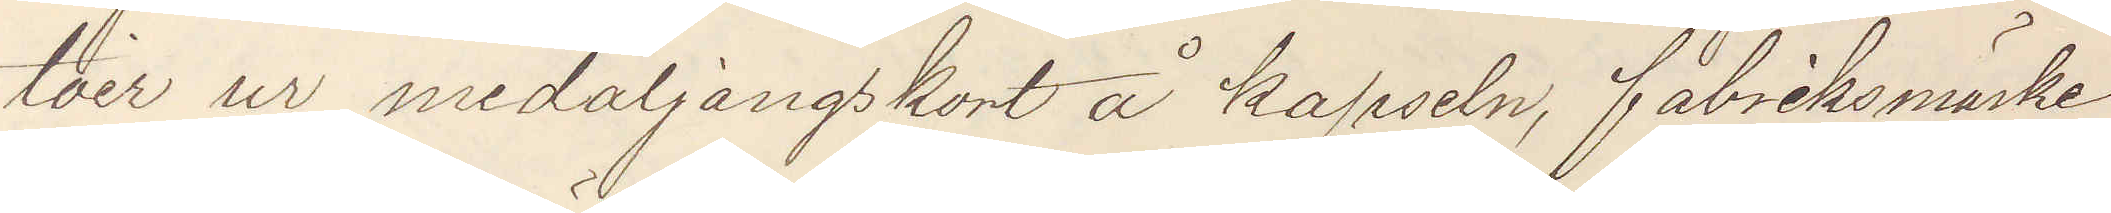toir ur medaljongskort å kapseln, fabriksmärke
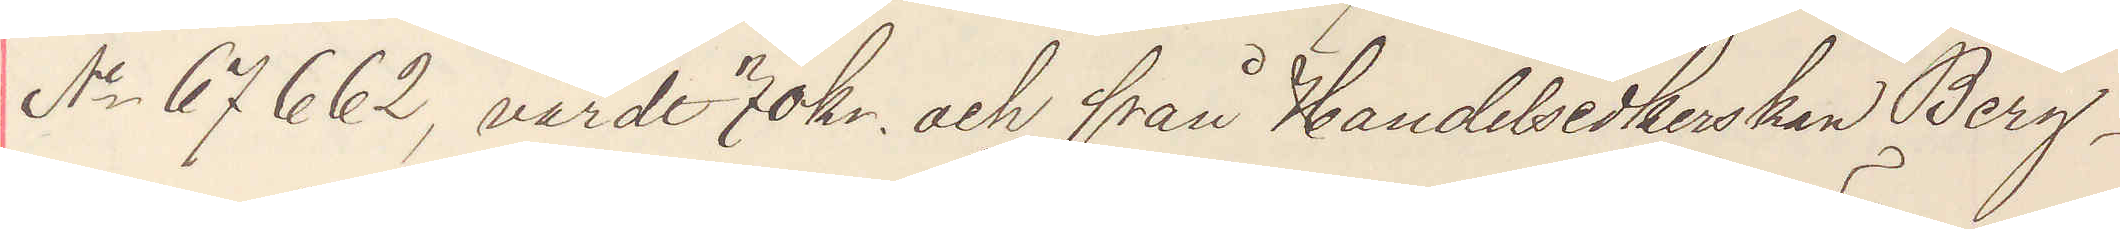No 67662, värdt 70 kr och från Handelsidkerskan Berg¬
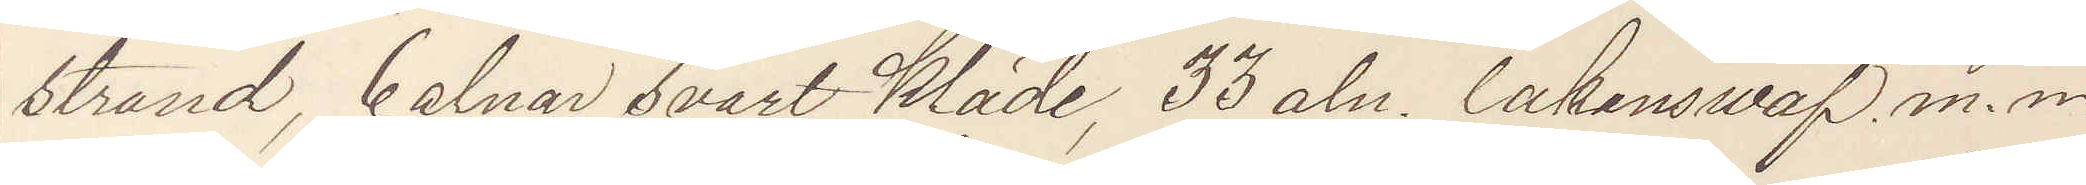strand, 6 alnar svart Kläde, 33 aln lakanswäf m. m. 
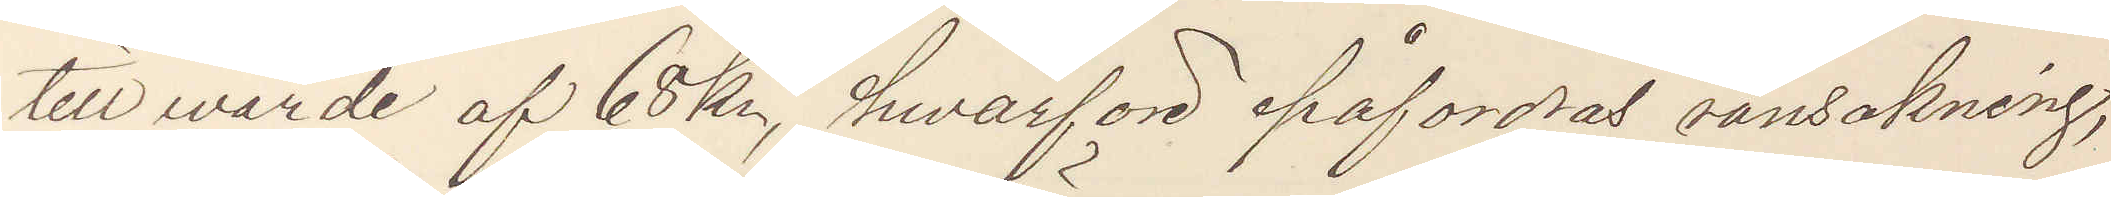till wärde af 68 kr, hwarföre påfordras ransakning,
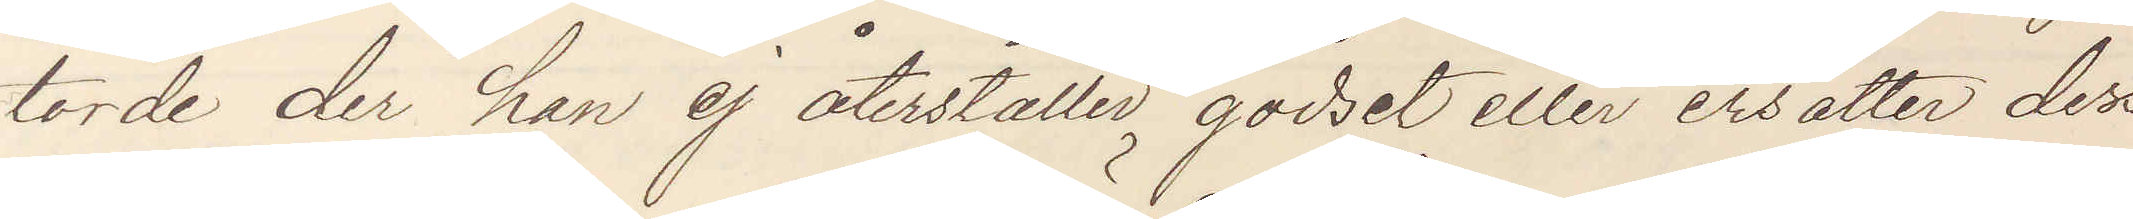torde der han ej återställer godset eller ersatter dess
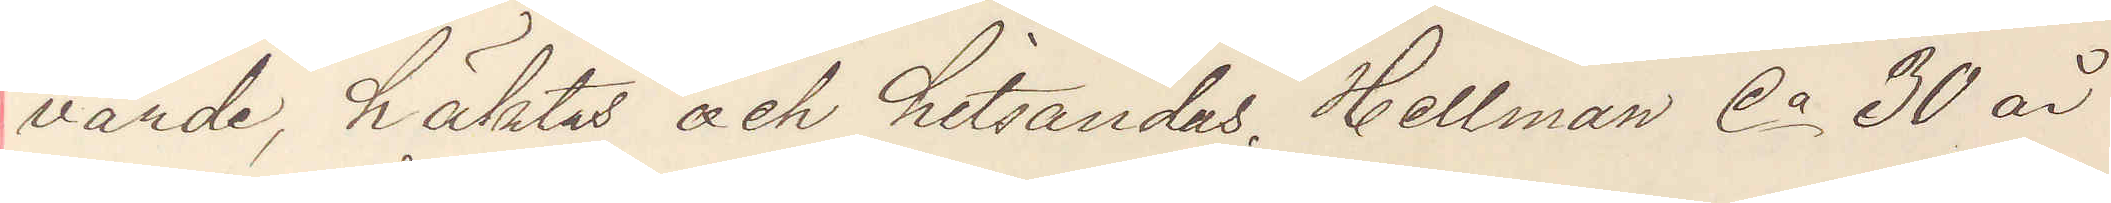värde, häktas och hitsändas. Hellman Ca 30 år
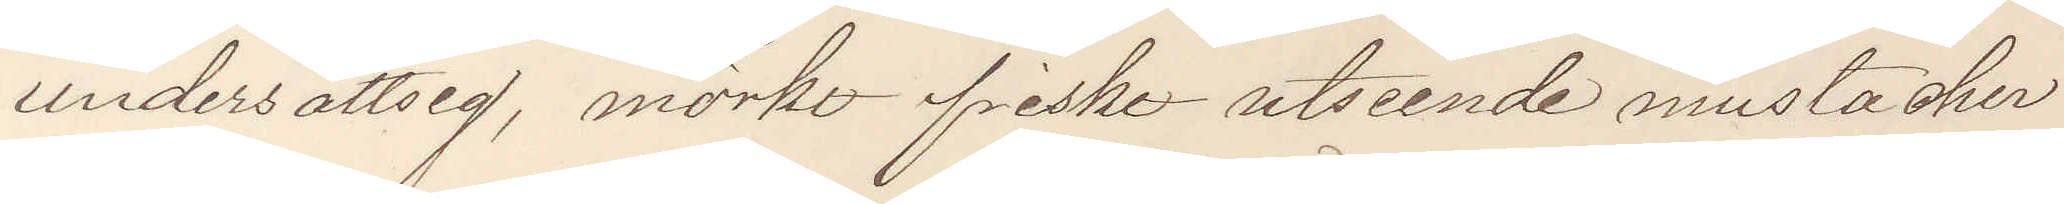undersättsig, mörkt friskt utseende mustacher
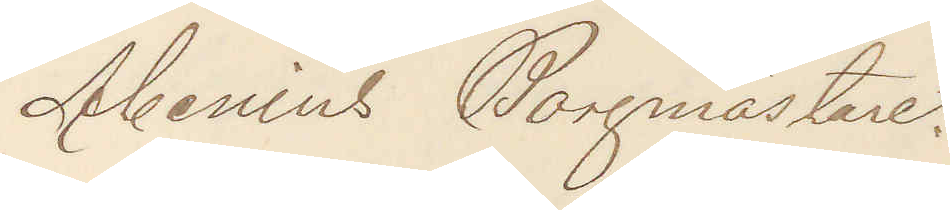Abenius Borgmästare.
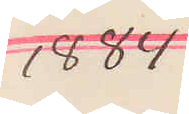1884
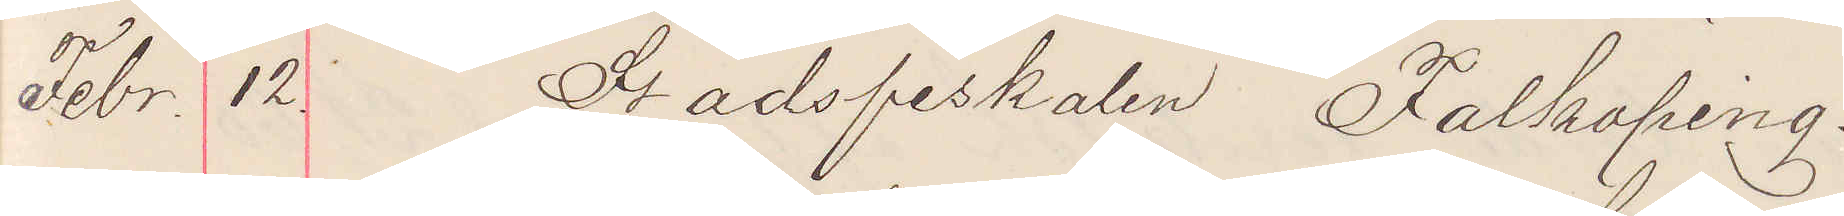Febr. 12. Stadsfiskalen Falköping.
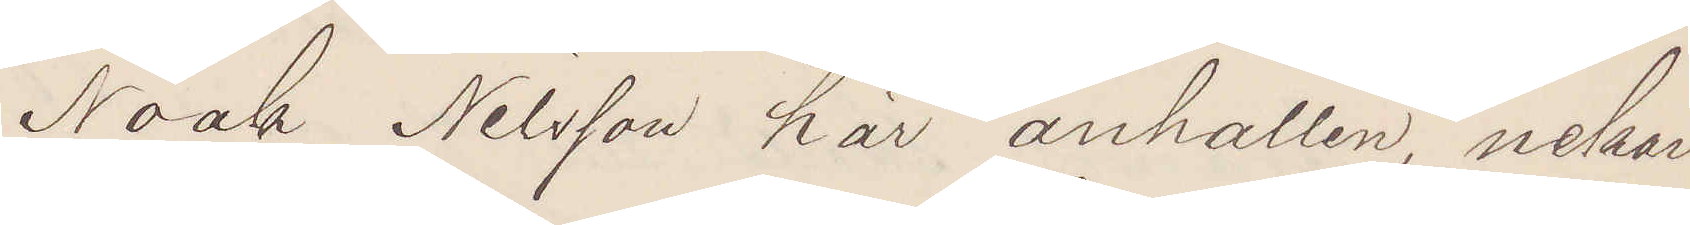Noak Nilsson här anhållen, nekar
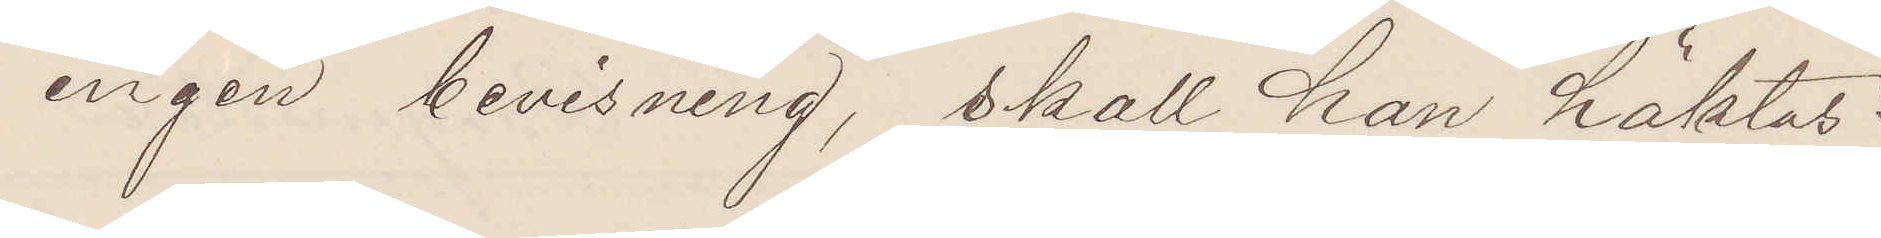ingen bevisning, skall han häktas?
